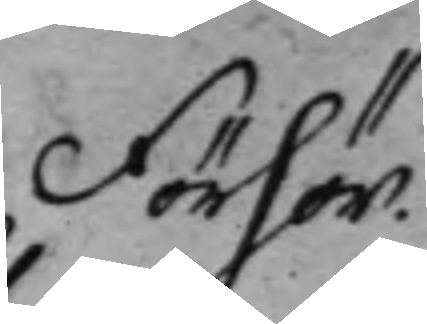Förhör.
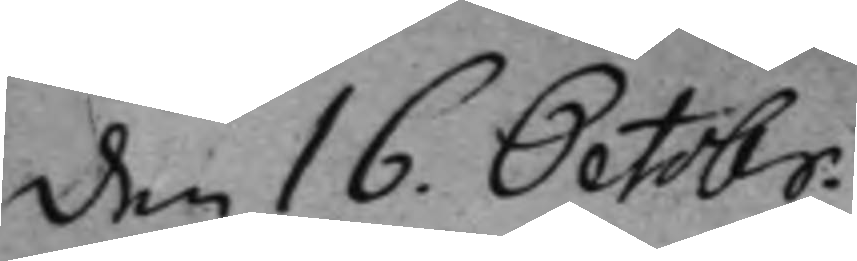den 16. Octobr.
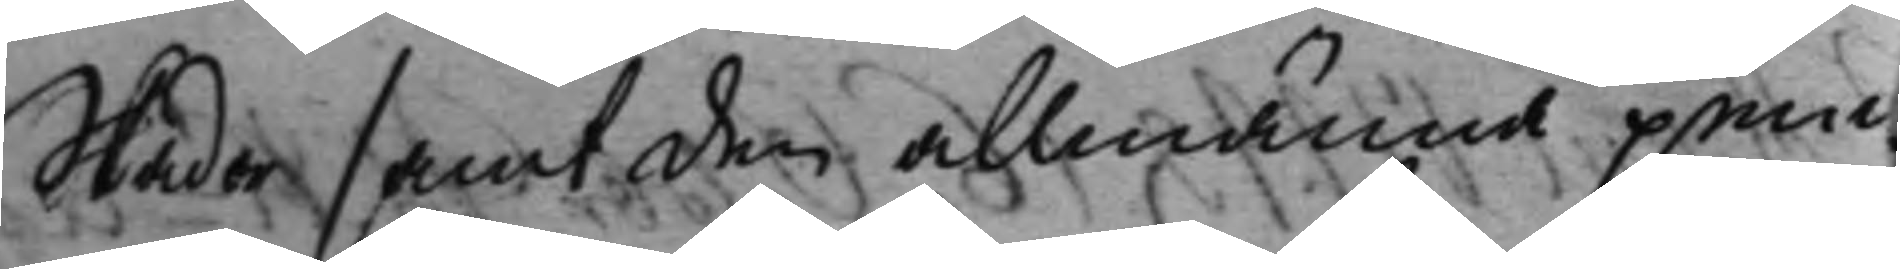Skador samt den allmänna pen¬
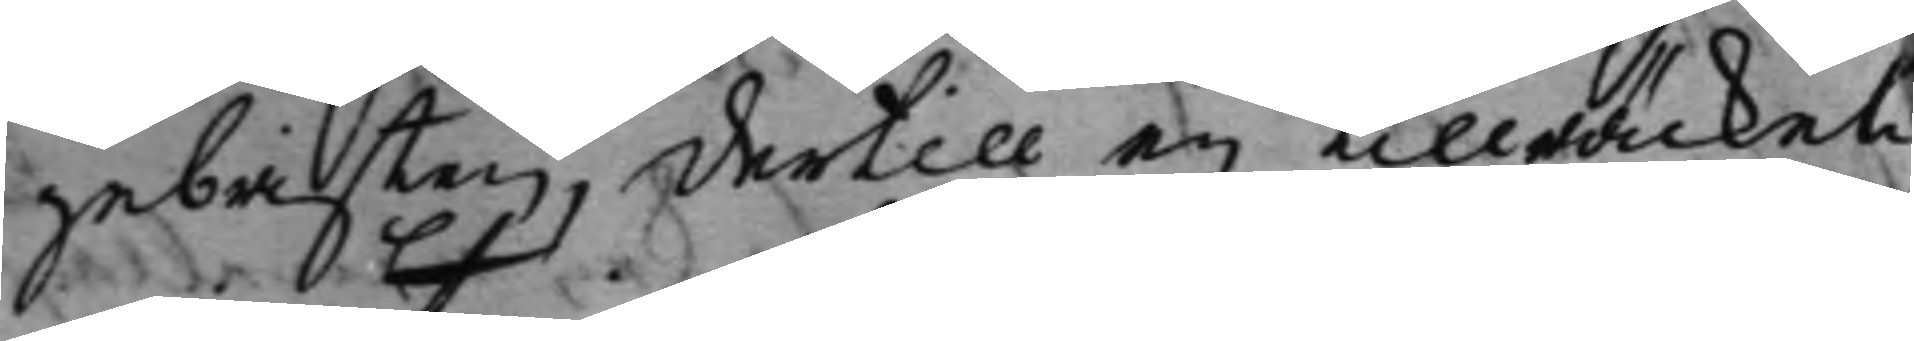gebristen, dertill ey tillräckeli
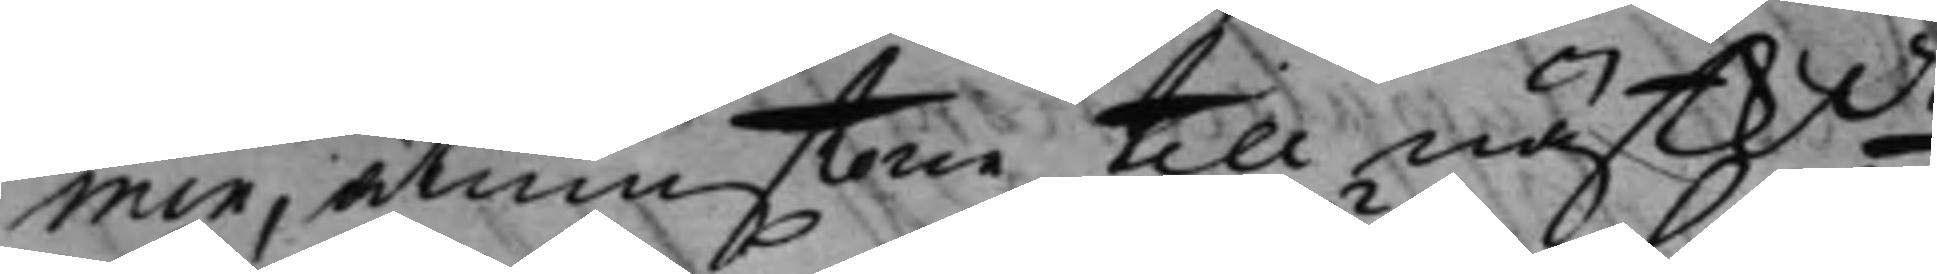min, åtminstone till nästkde
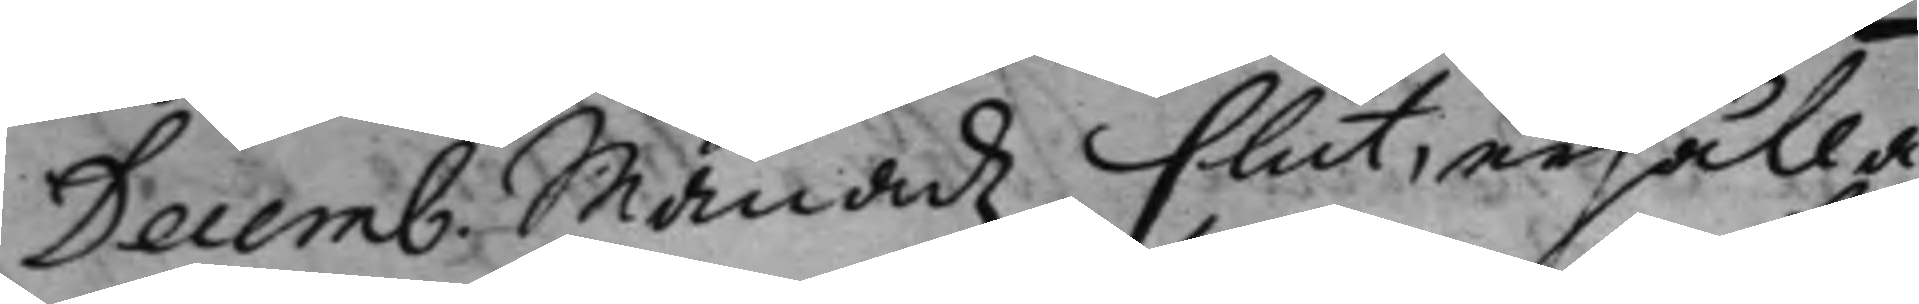Decemb. Månadz slut, erhålla
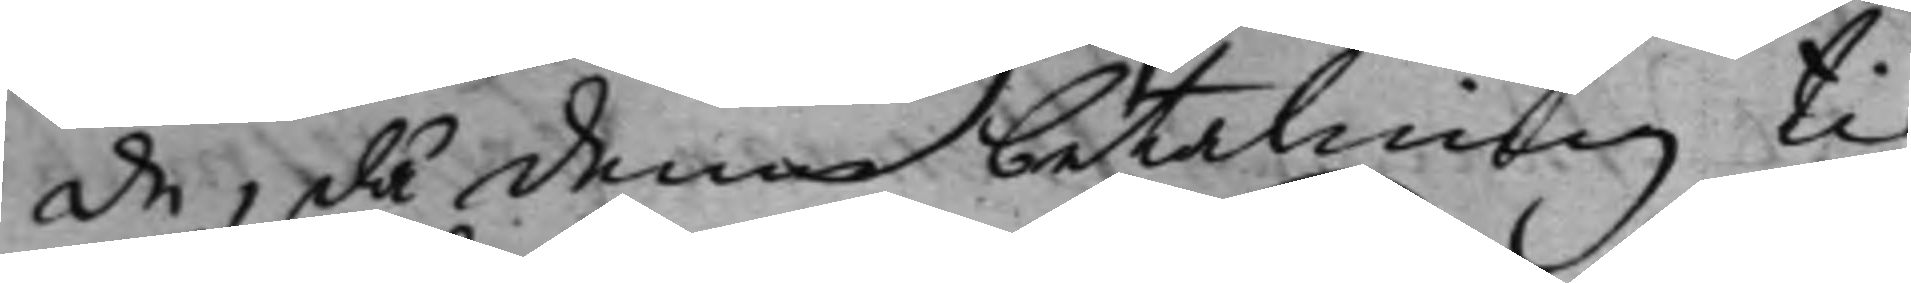de, då denne betalning ti
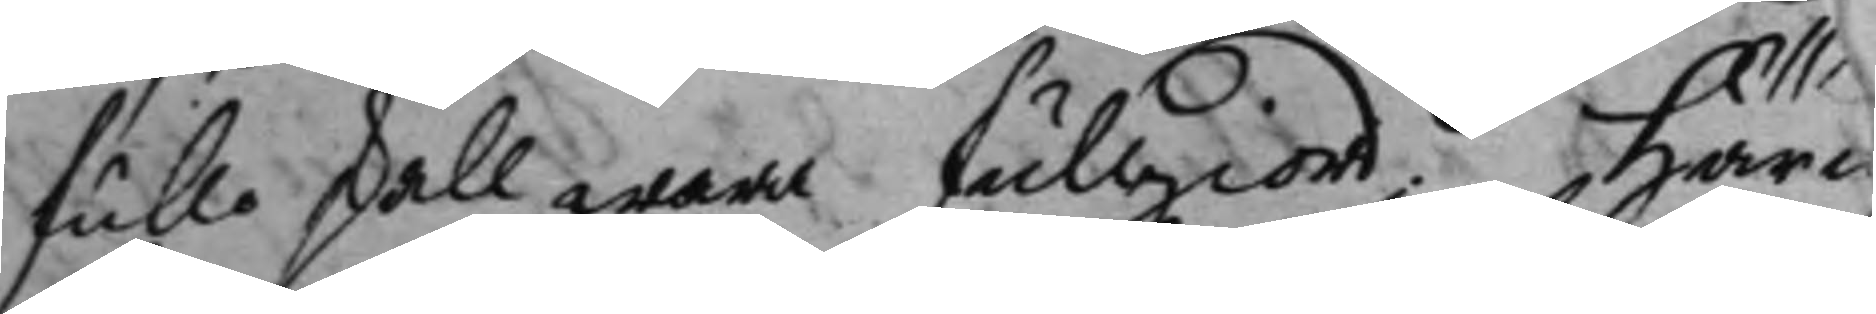fullo skall wara fullgiord, Härw
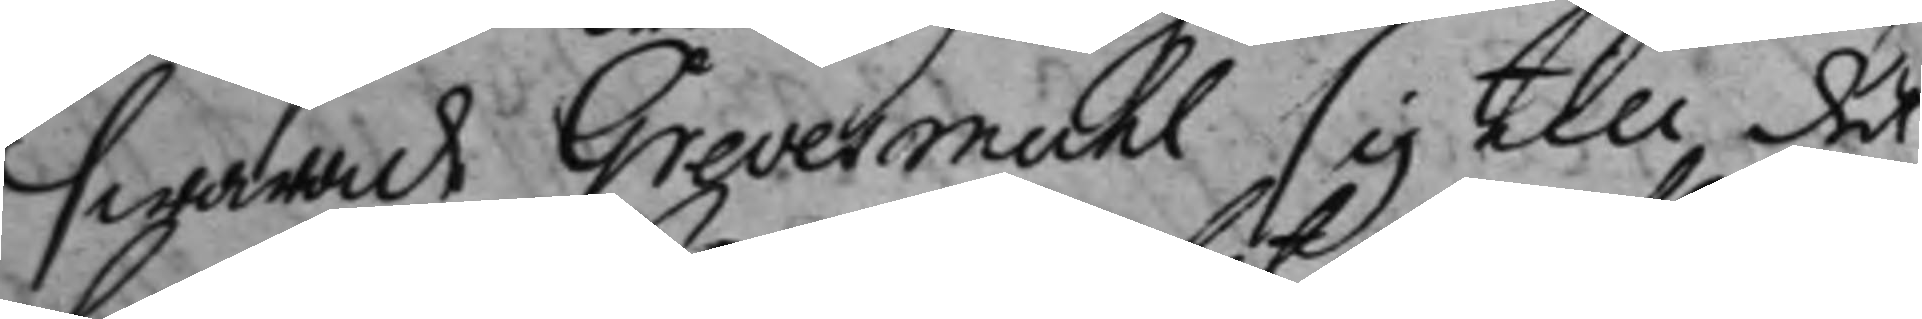swarade Grevesmuhl sig till det
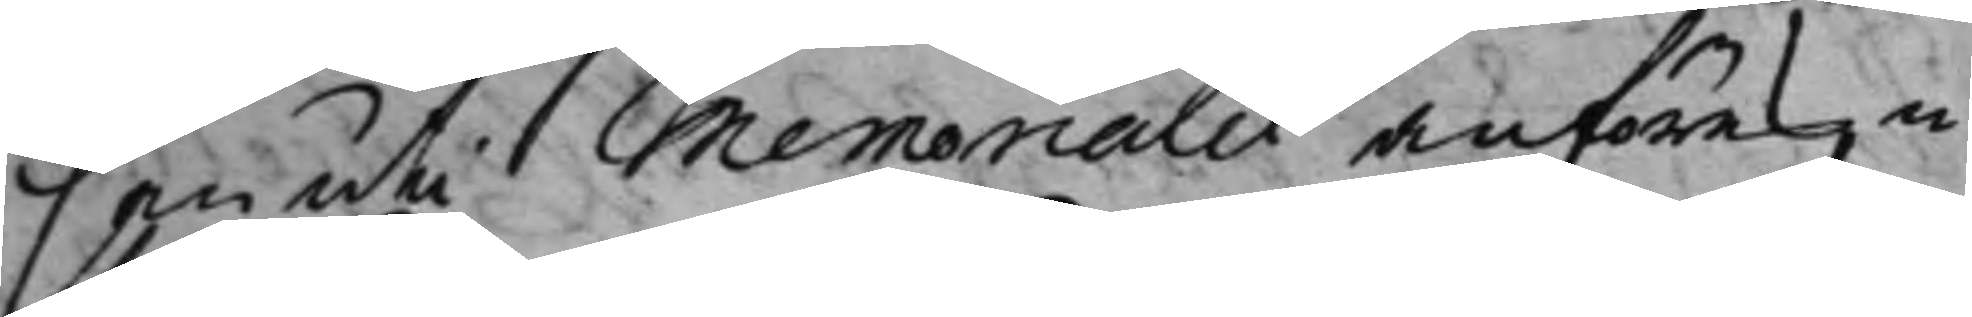han uti Memorialet anföres in¬
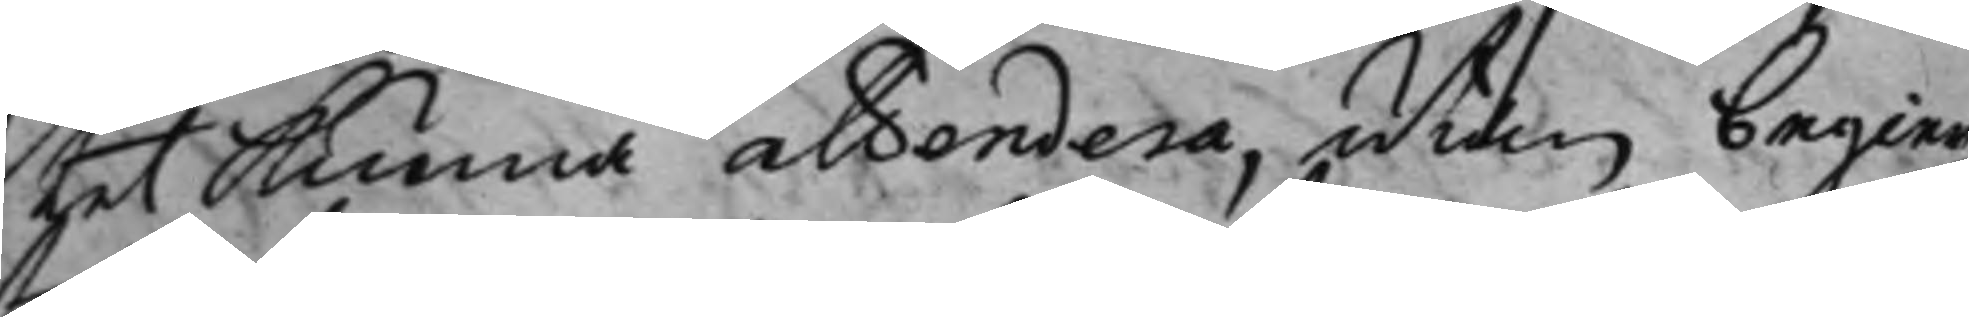thet kunna attendera, utan begier¬
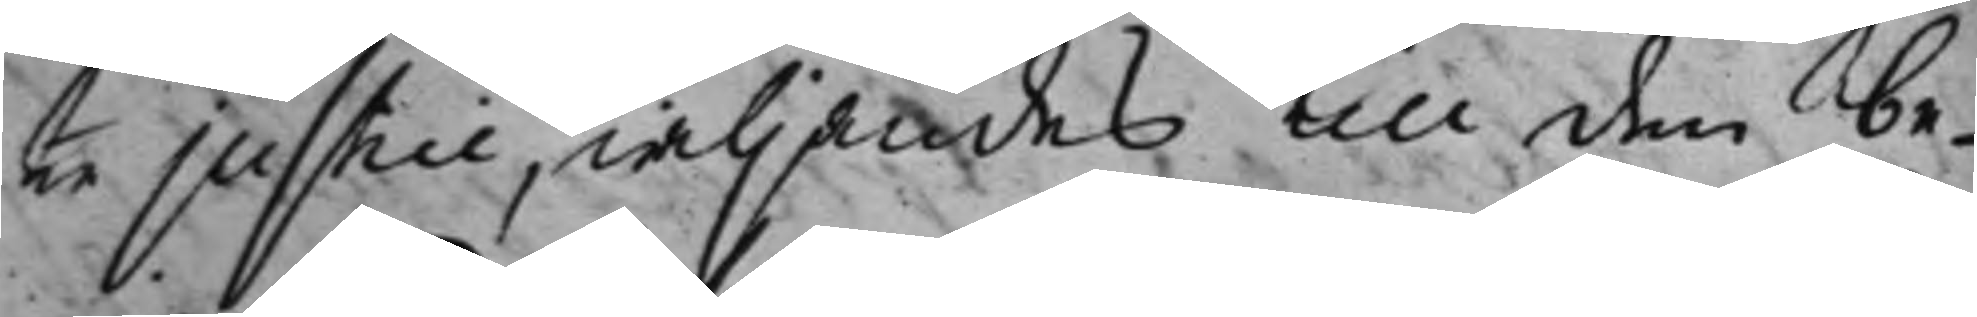er justice, wiljandes till den be¬
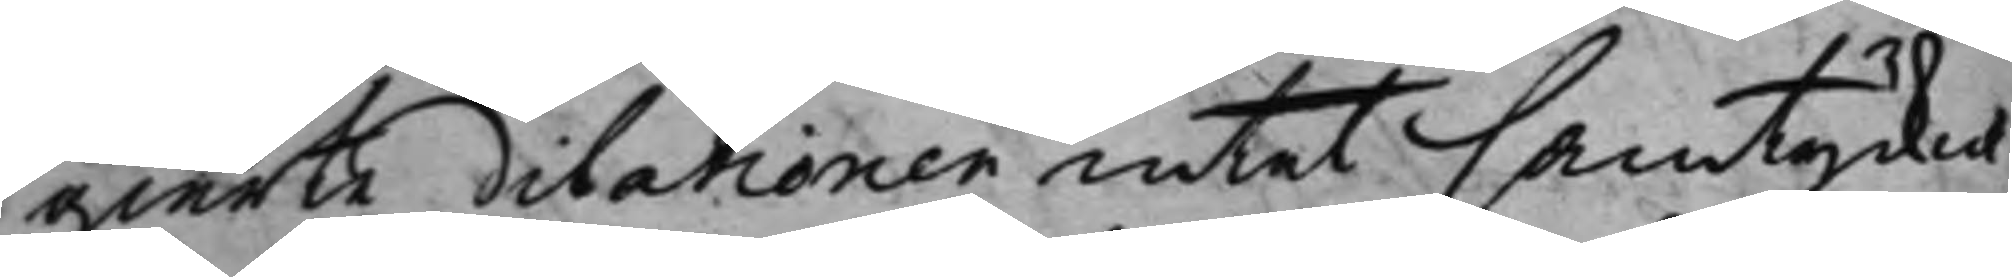gierte dilationen intet samtycker,
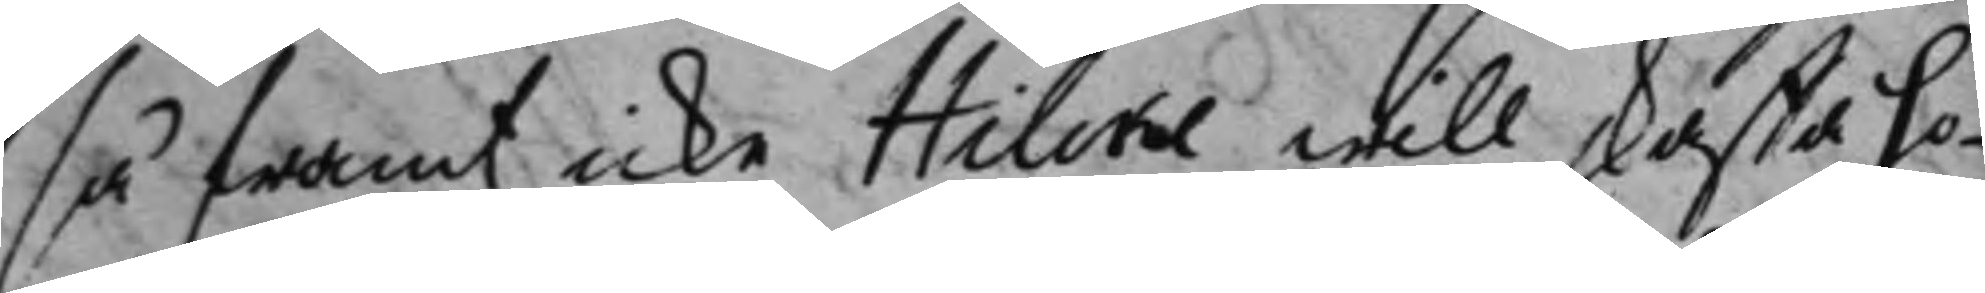så framt icke Hilcke will skaffa ho¬
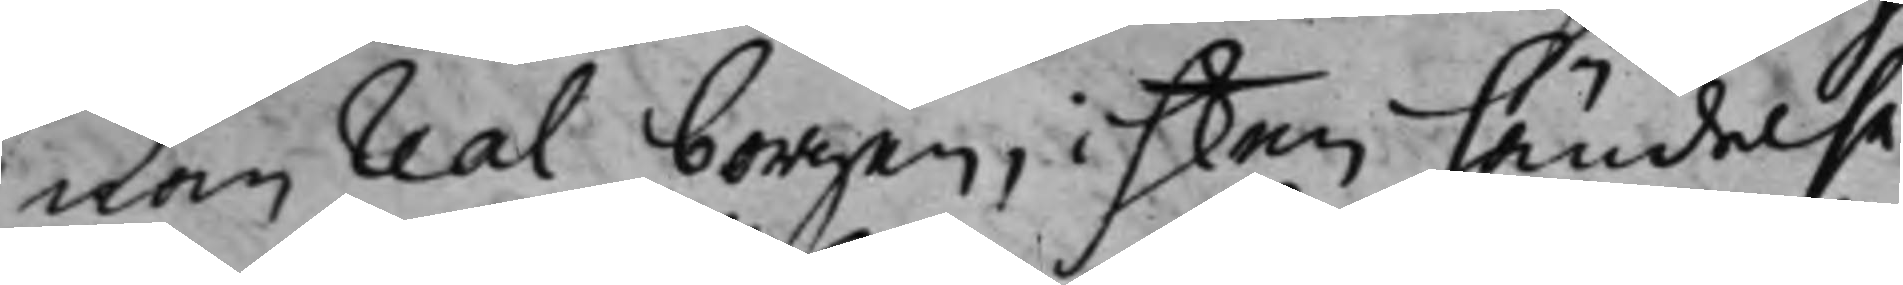nom Real borgen, i hken händelse
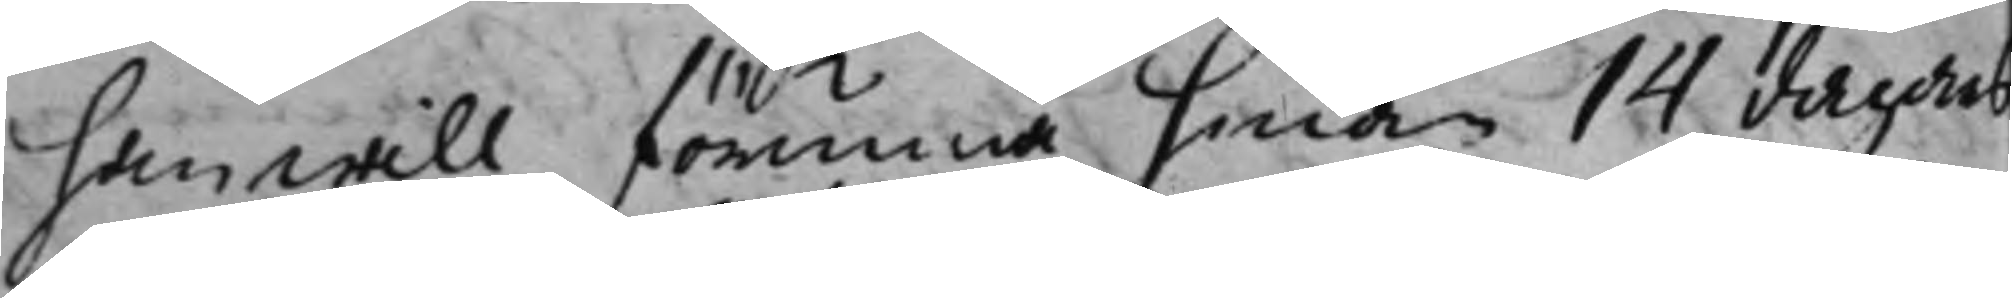han will förunna honom 14 dagars
